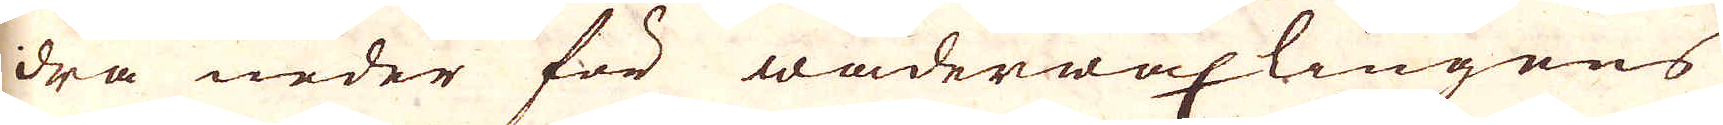dra neder för wäderwäxlingens
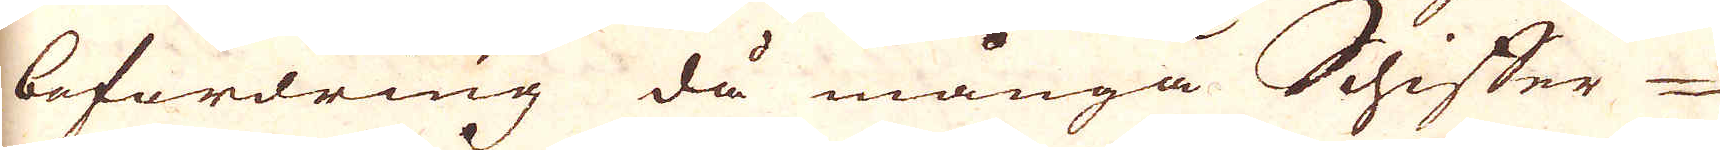befordring då många Schiffer-
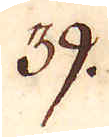39.
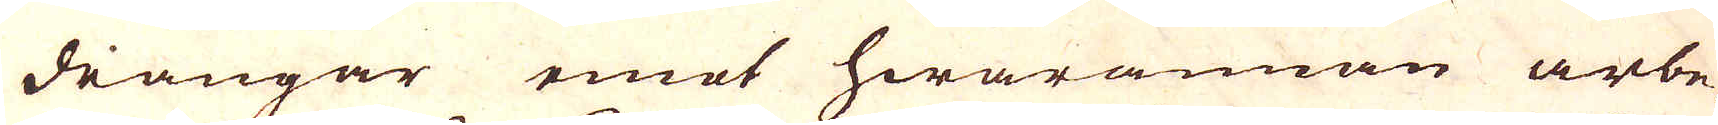drängar emot hwarannan arbe-
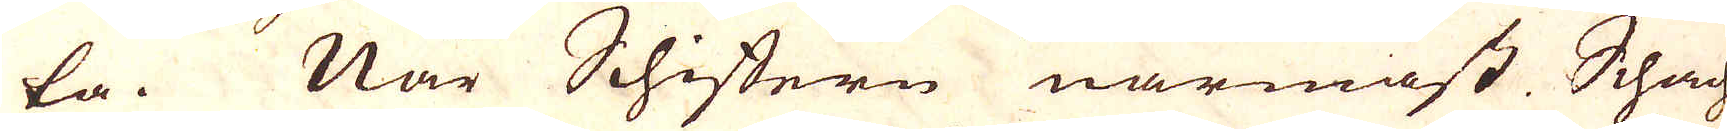ta. När Schiftern närmast Schach-
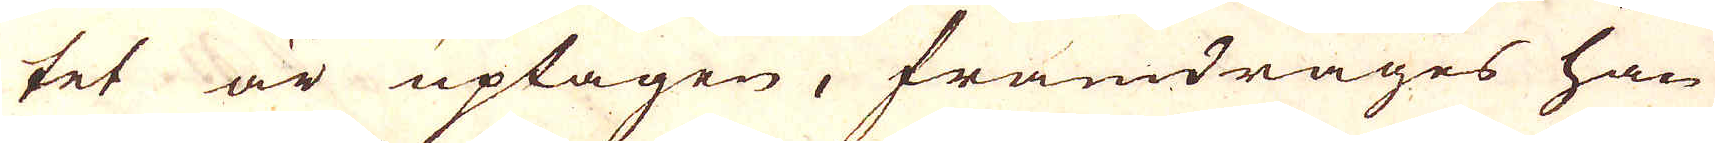tet är uptagen, framdrages han
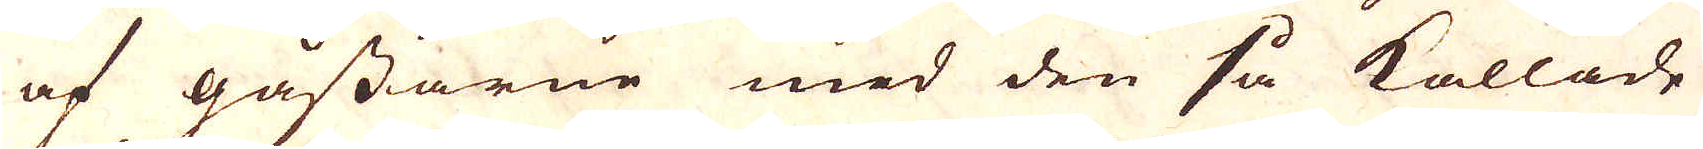af gåssarne med den så kallade
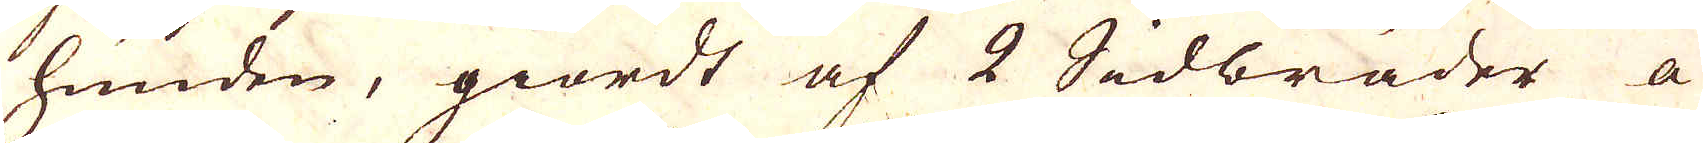hunden, giordt af 2 Sidbräder a
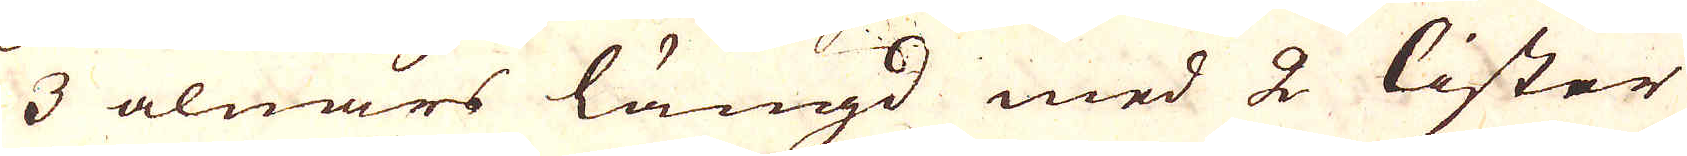3 alnars längd med 2 lister
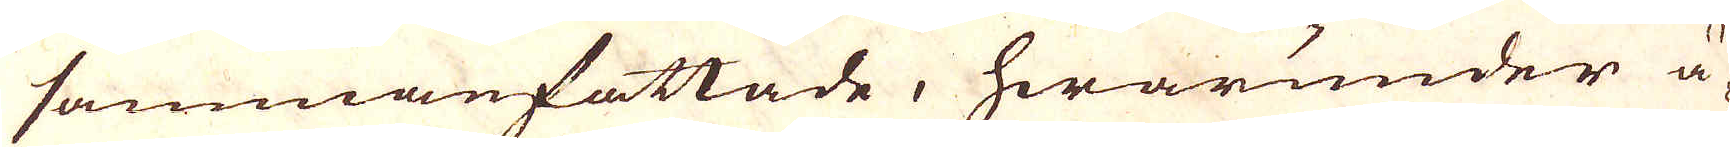sammanfattade, hwarunder ä-
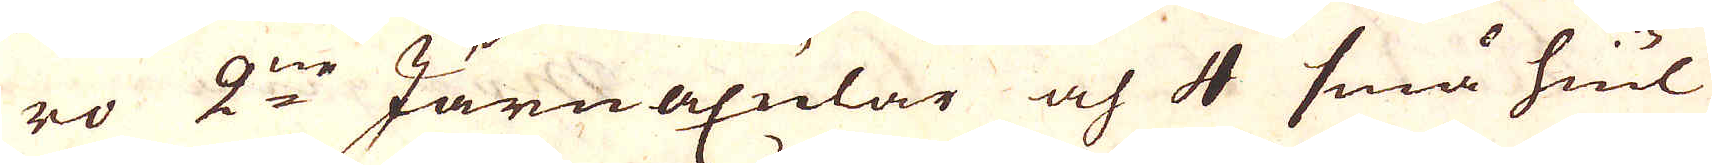ro 2:ne Järnnaxular och 4 små hiul
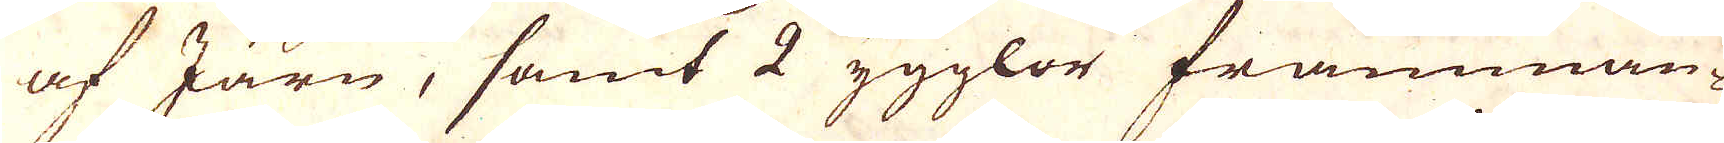af Järn, samt 2 ygglor framman-
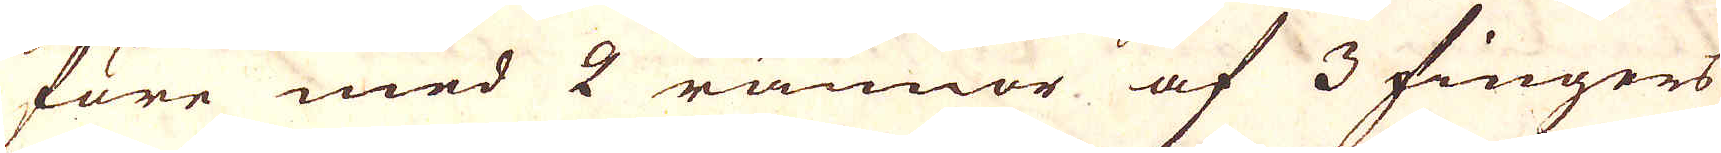före med 2 rännor af 3 fingers
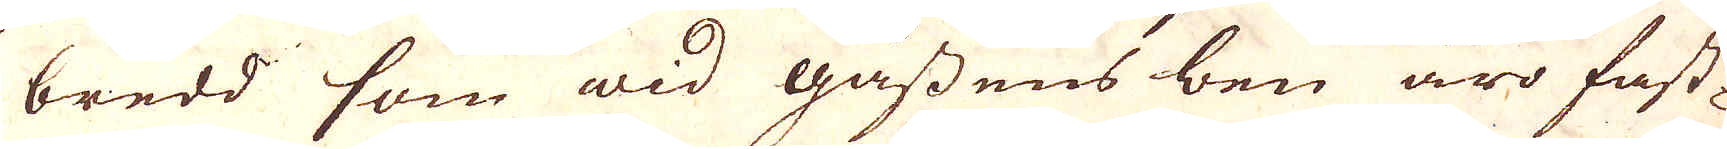bredd som wid gåssens ben äro fast-
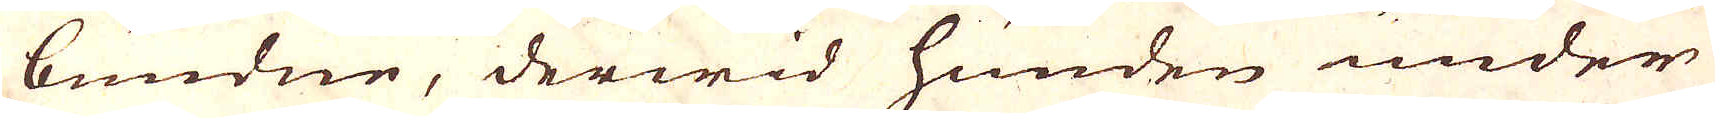bundne, derwid hunden under
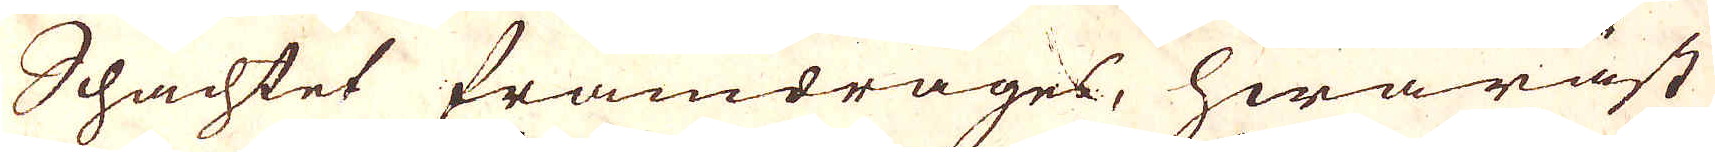Schachtet framdrages, hwaräst
